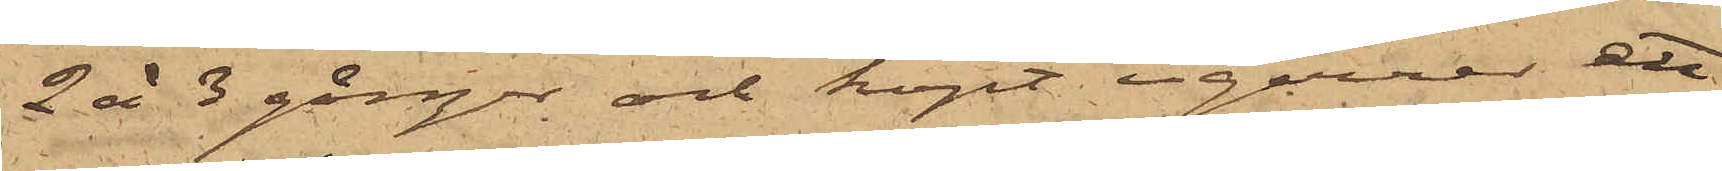2 à 3 gånger och köpt cigarrer ett
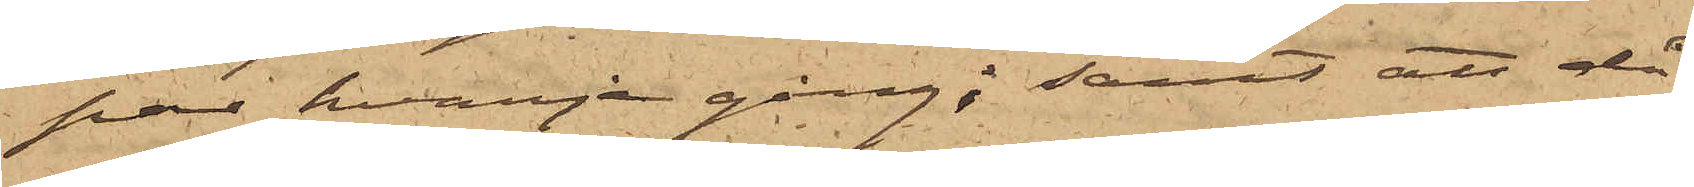par hvarje gång; samt att då
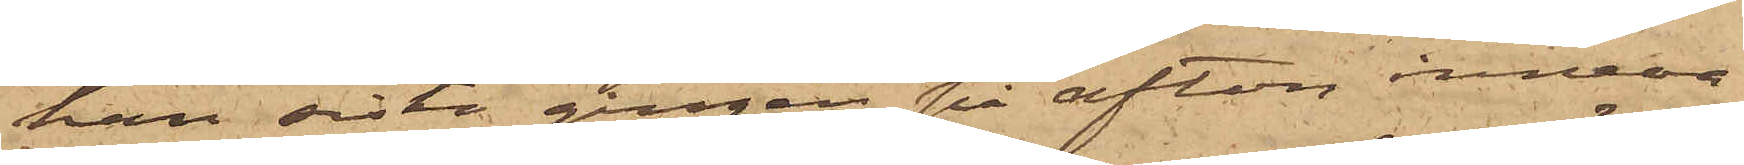han sista gången på afton inneva¬
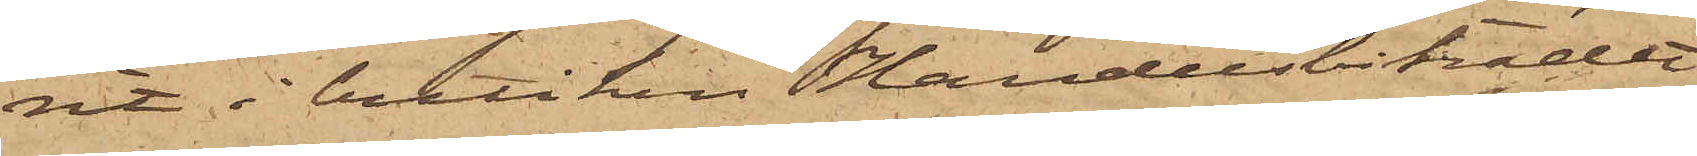rit i butiken Handelsbiträdet
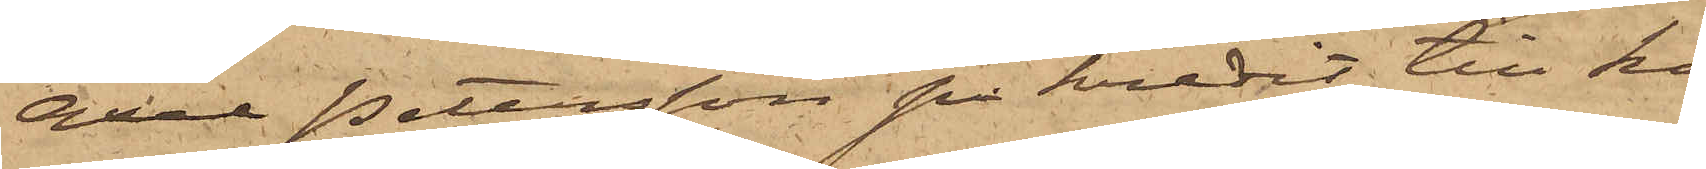Axel Petersson på kredit till ho¬
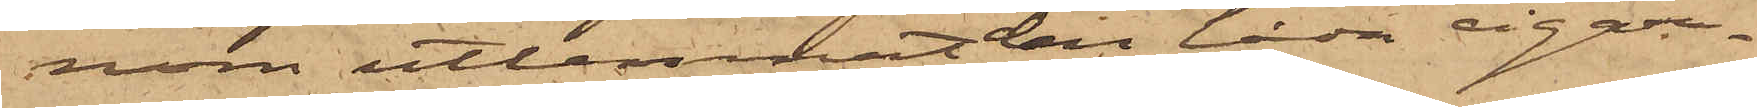nom utlemnat den låda cigar¬
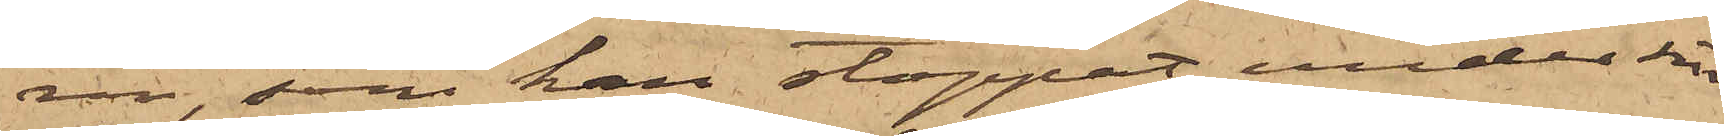rer, som han stoppat under sin
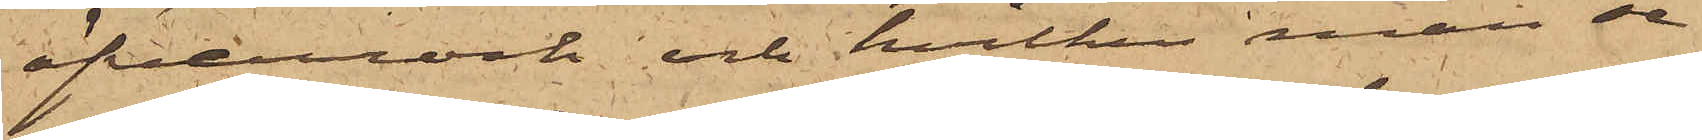öfverrock och hvilken man se¬
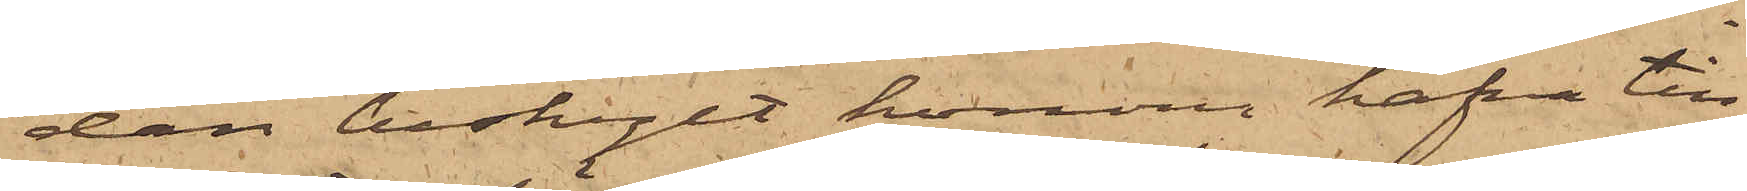dan beskylt honom hafva till¬
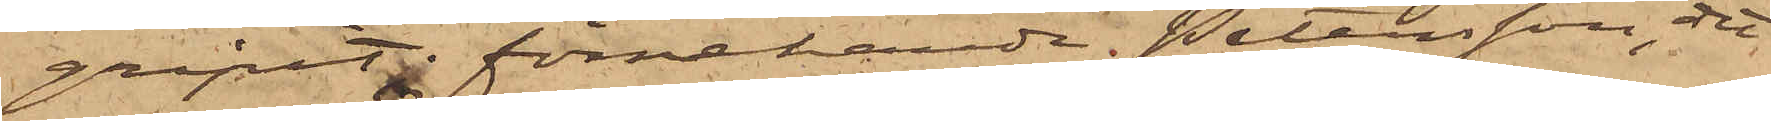gripit; förnekande Petersson, det
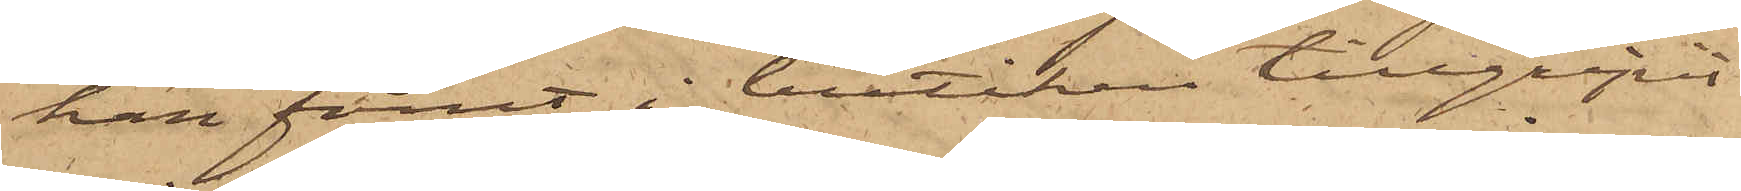han förut i butiken tillgripit
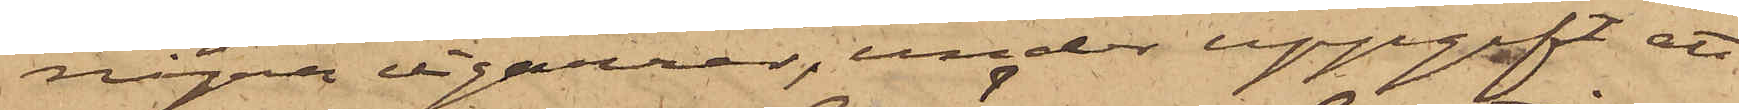några cigarrer, under uppgift att
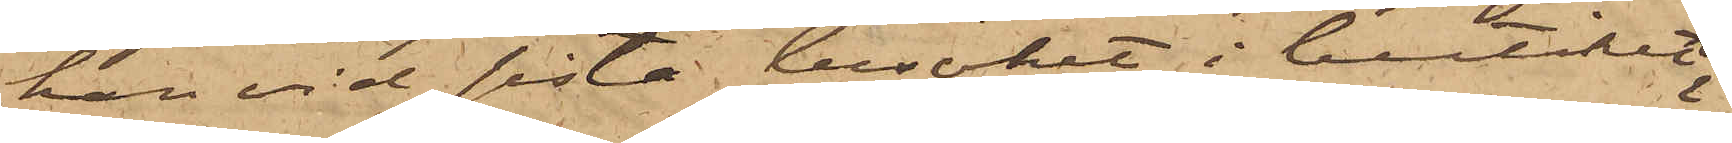han vid sista besöket i butiken
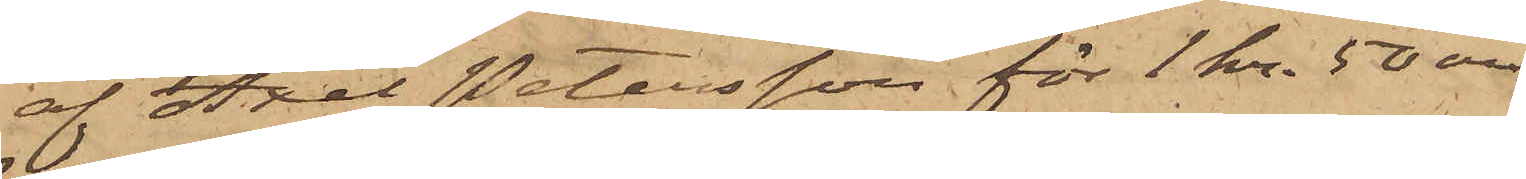af Axel Petersson för 1 kr. 50 öre
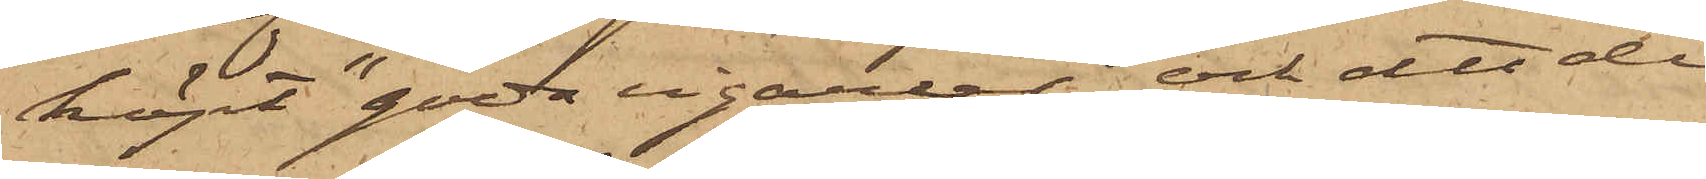köpt "goda cigarrer" och att de
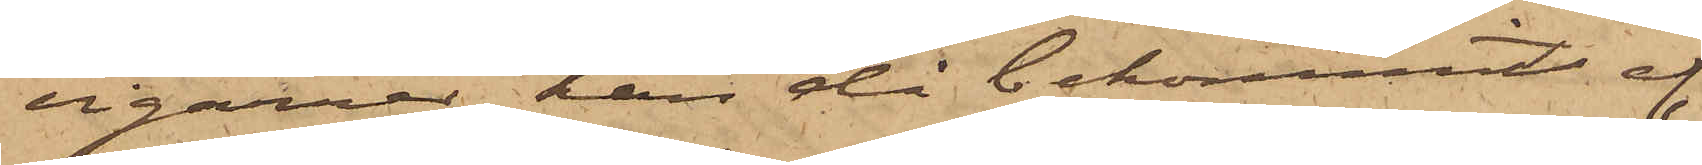cigarrer han då bekommit af
